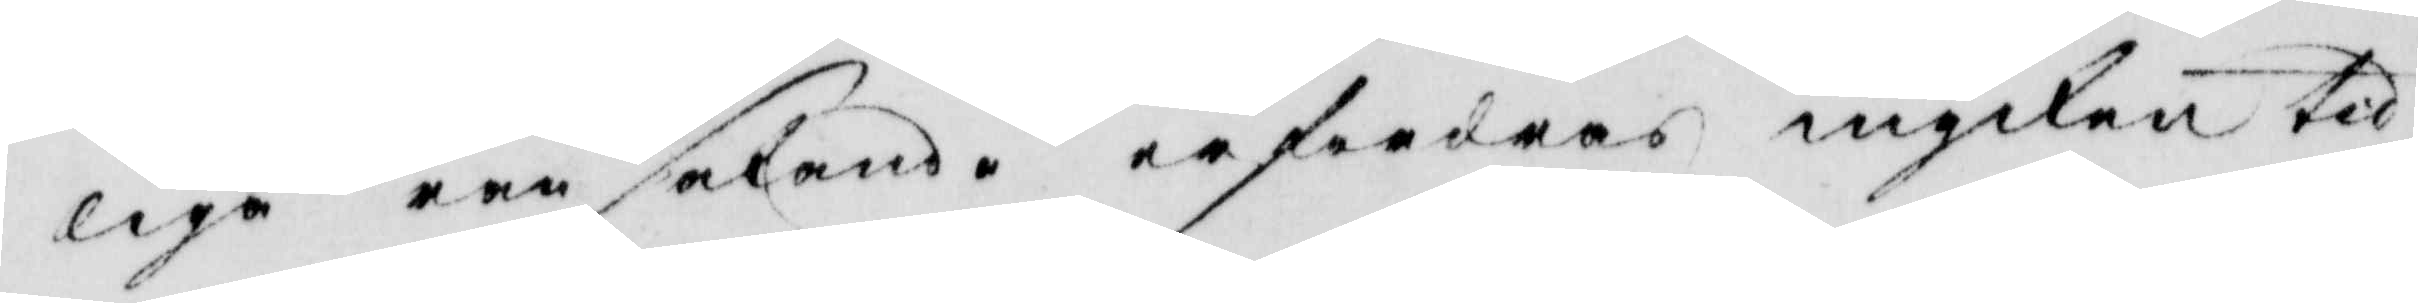liga ransakande erfordras mycken tid
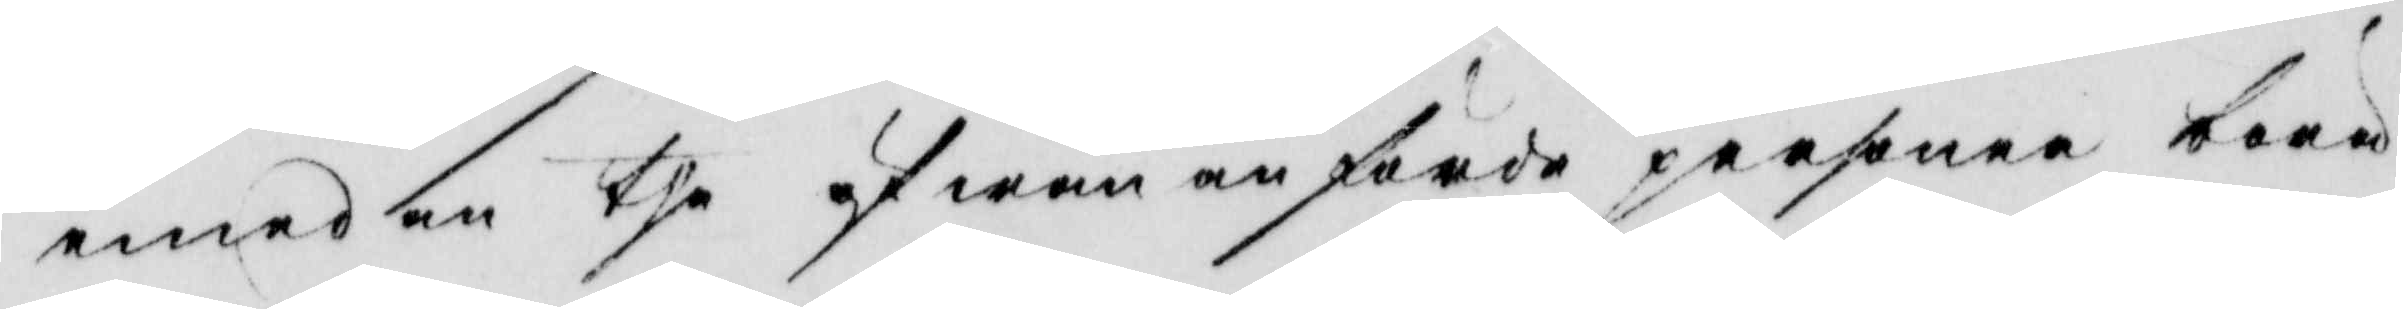emed en the ofwan anförde personer böra
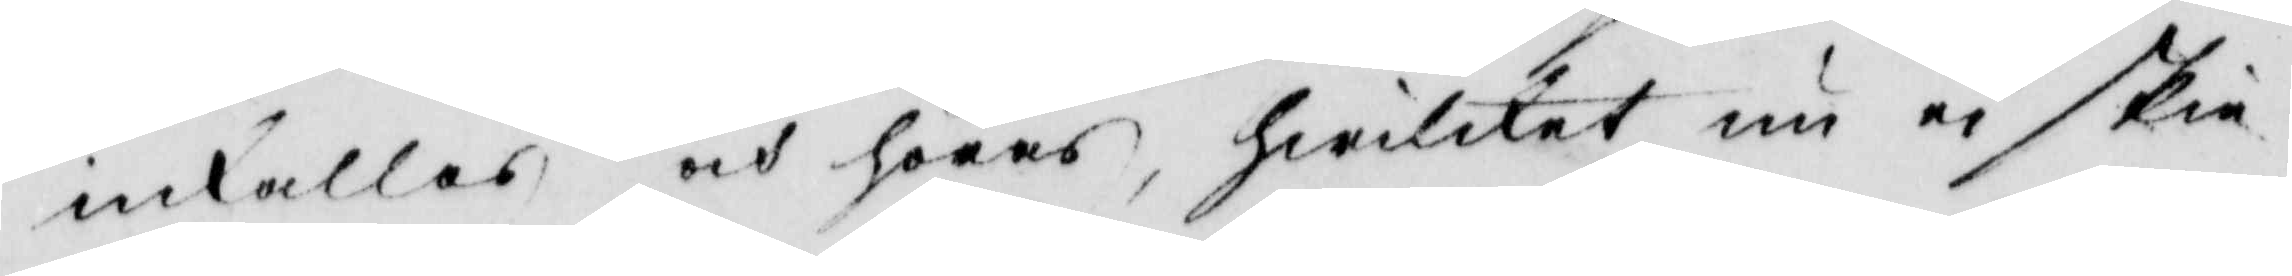inkallas, och höras, hwilket nu ei skie
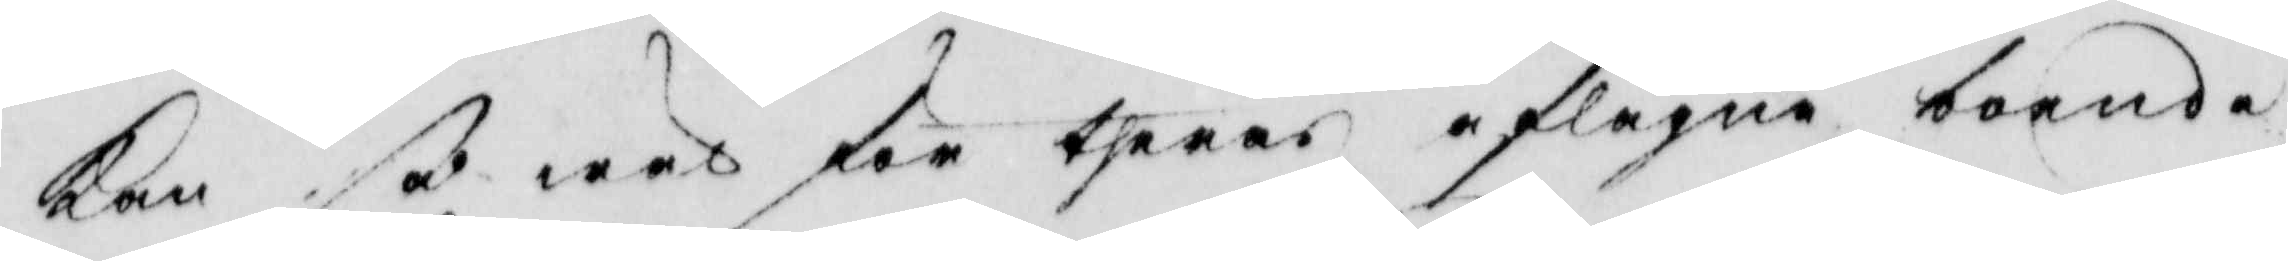kan så wäl för theras aflägna boende
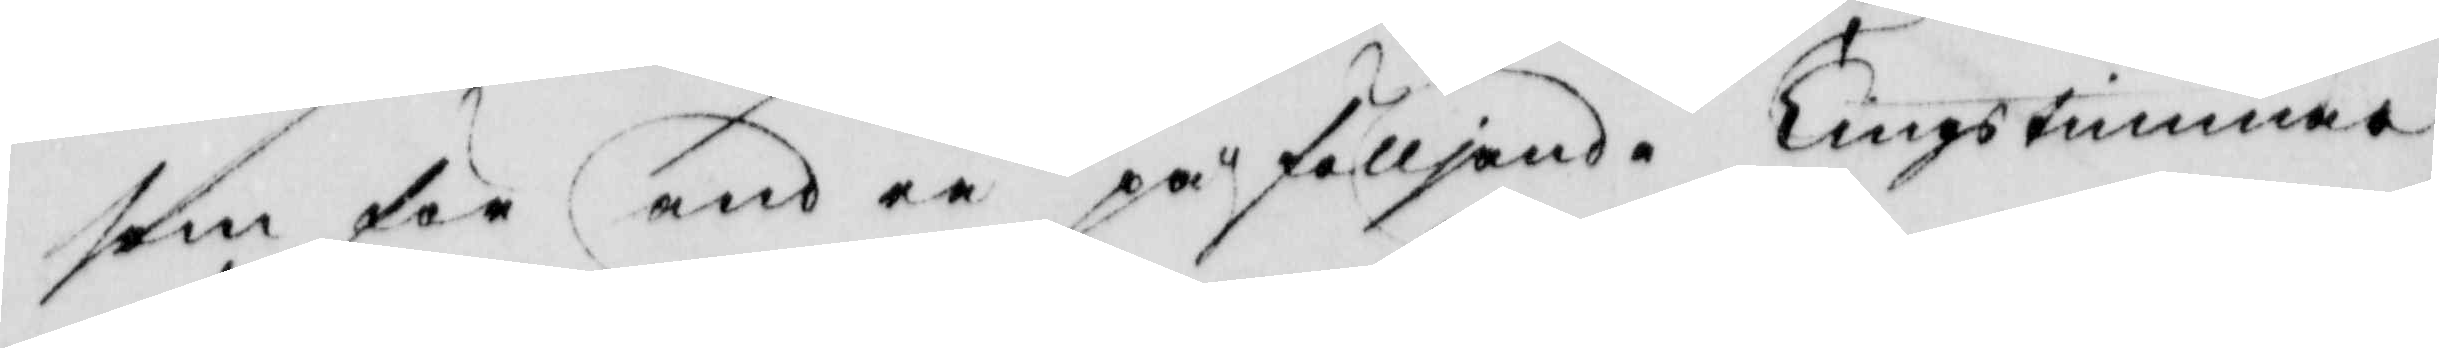som för andra påfölljande Tingstimmar
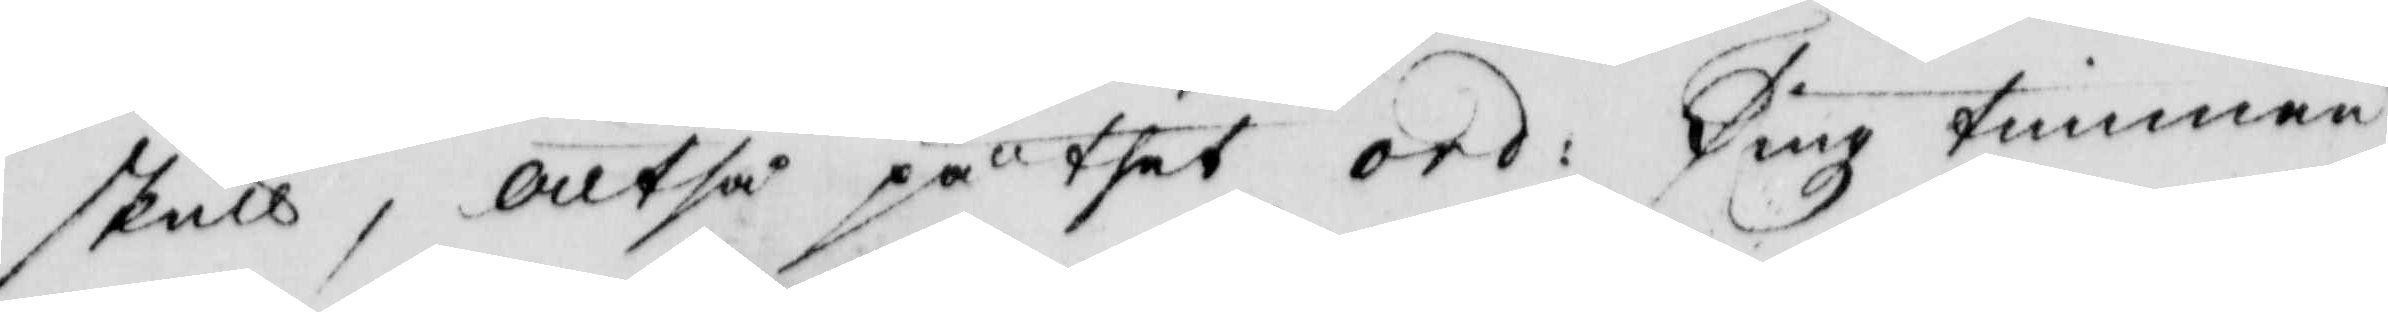skull, alltså på thet ord: Tings timman
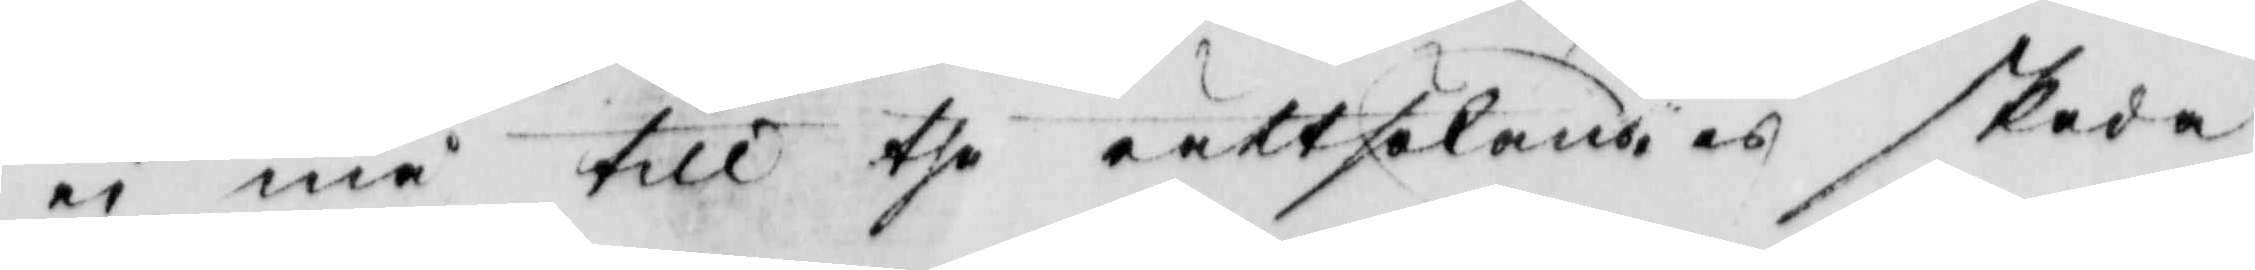ei må till the rättsökandies skada
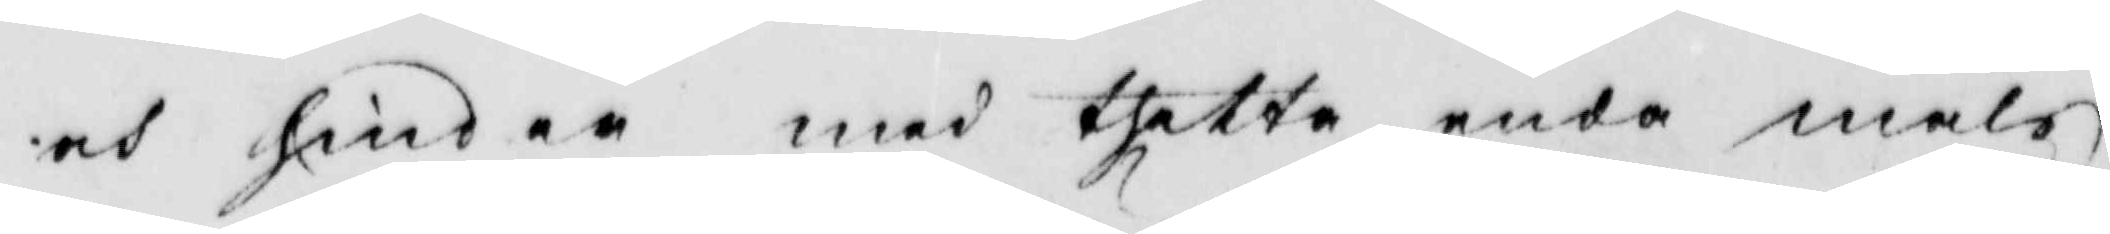och hinder med thetta enda måls
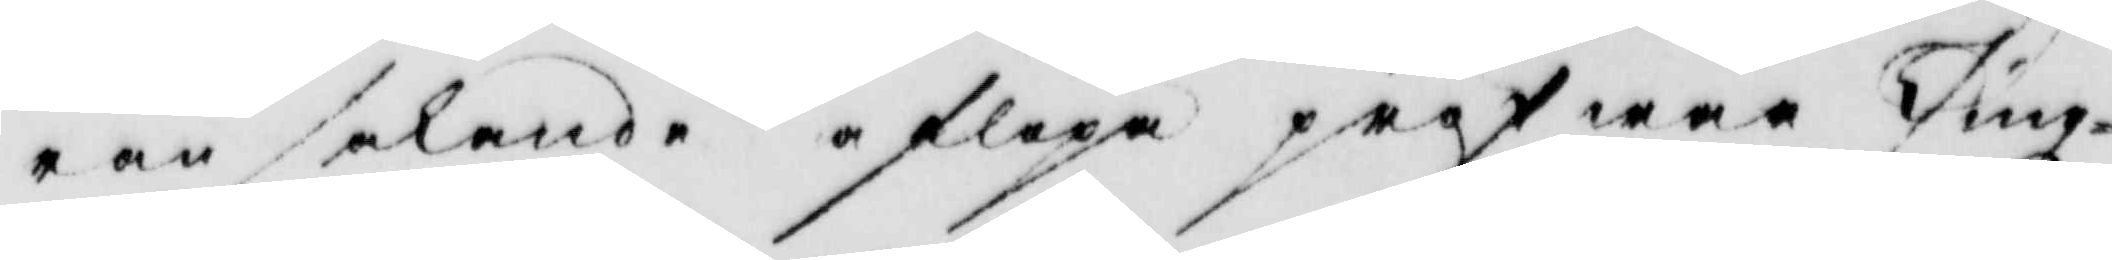ransakande afsläpa pröfwar Tingz¬
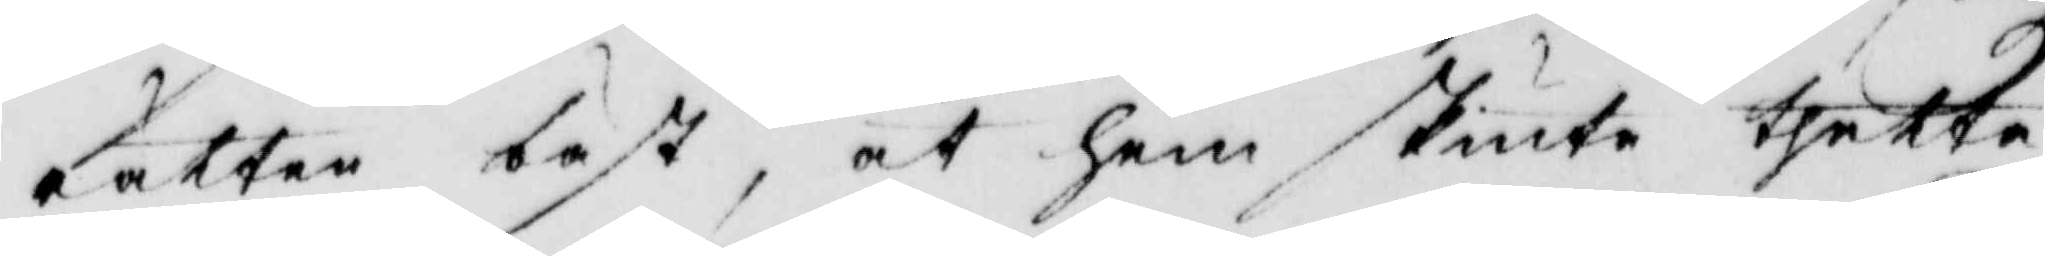rätten bäst, at hem skiuta thetta
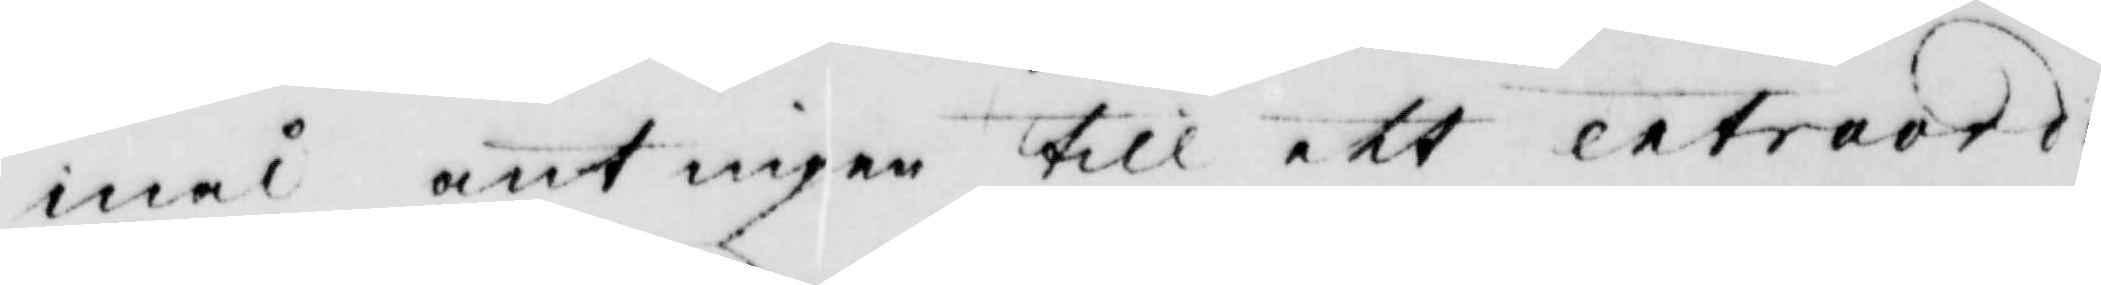mål antingen till ett extraord:
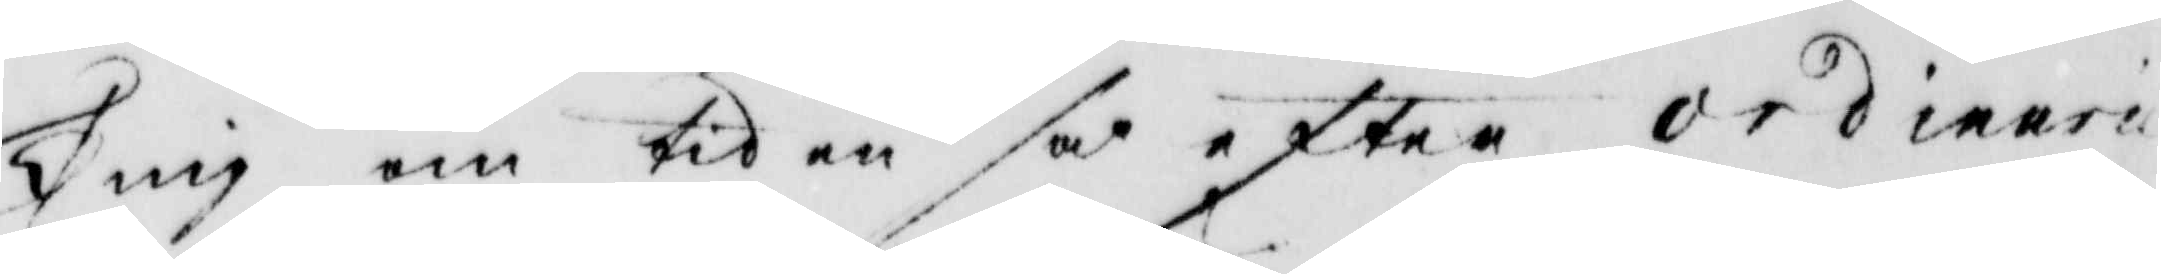Ting om tiden så efter ordinarie
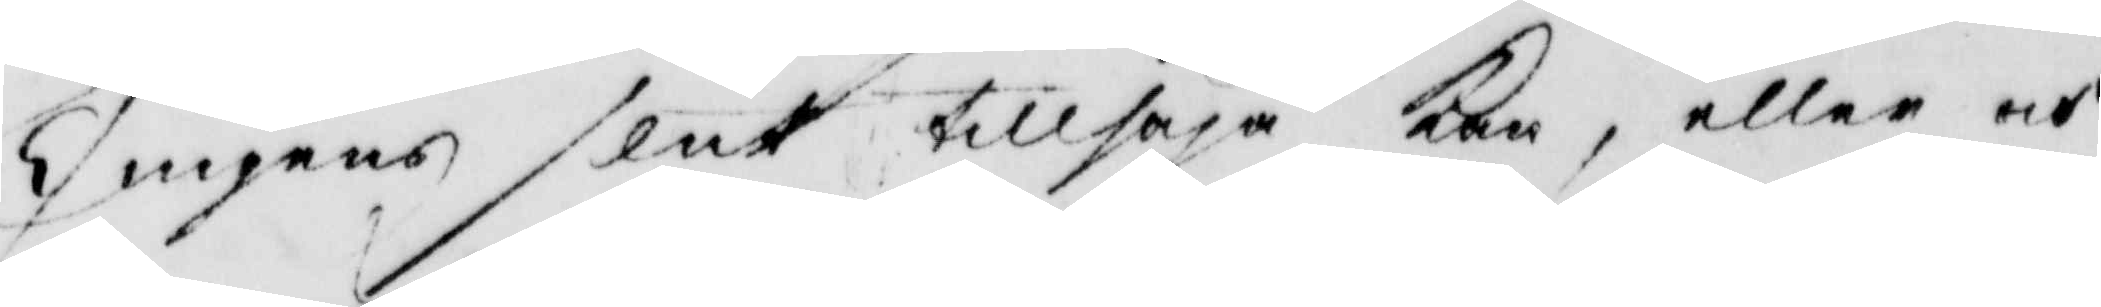Tingens slut tillsäja kan, eller och
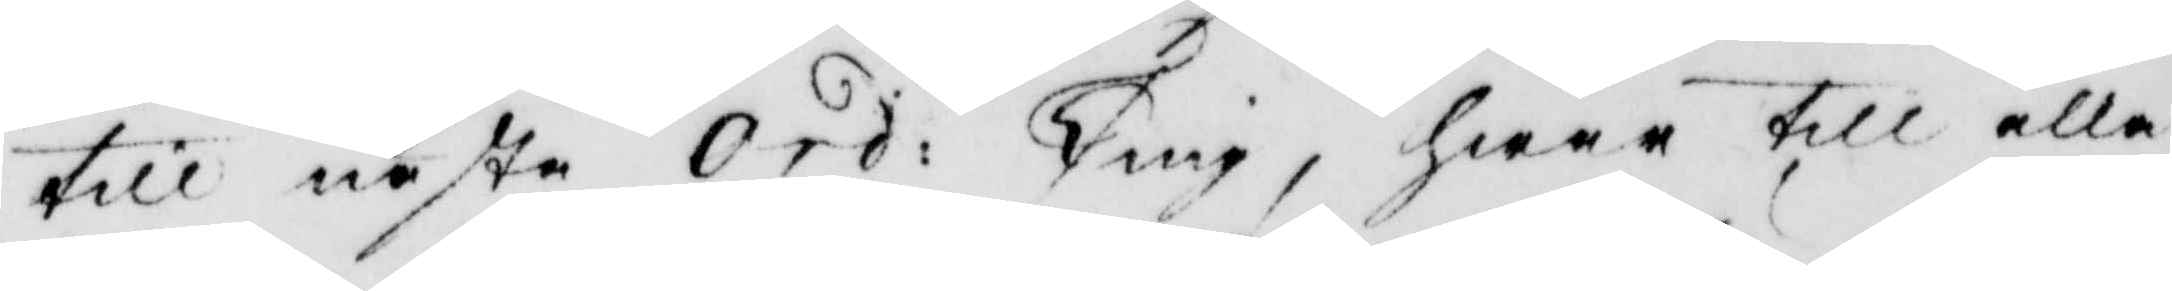till nästa Ord: Ting, hwar till alla
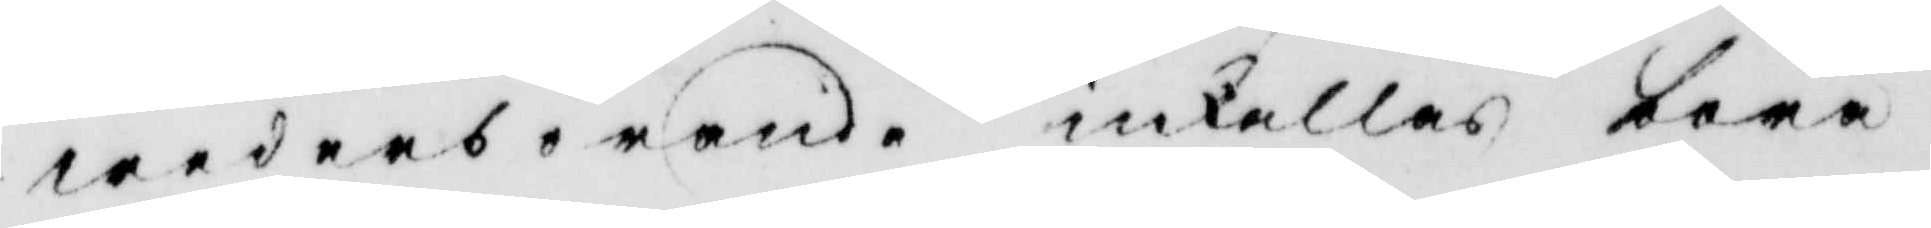wederbörande inkallas böra.
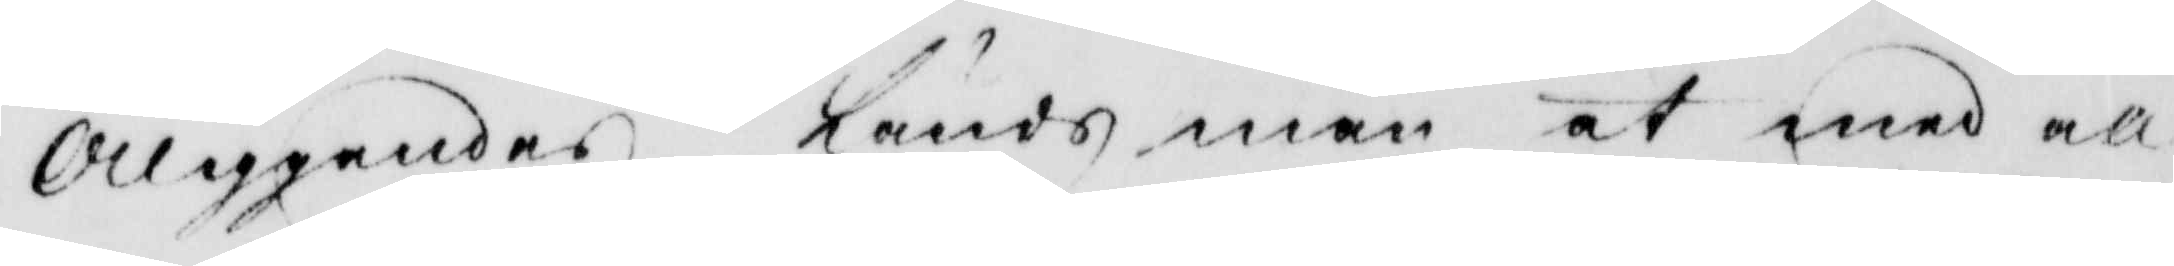Åliggandes ländsman at med all
